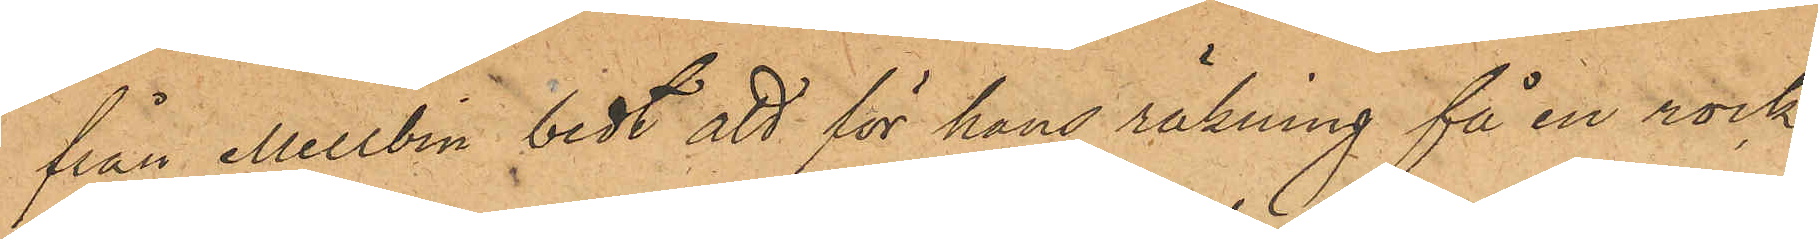från Mellbin bedt att för hans räkning få en rock,
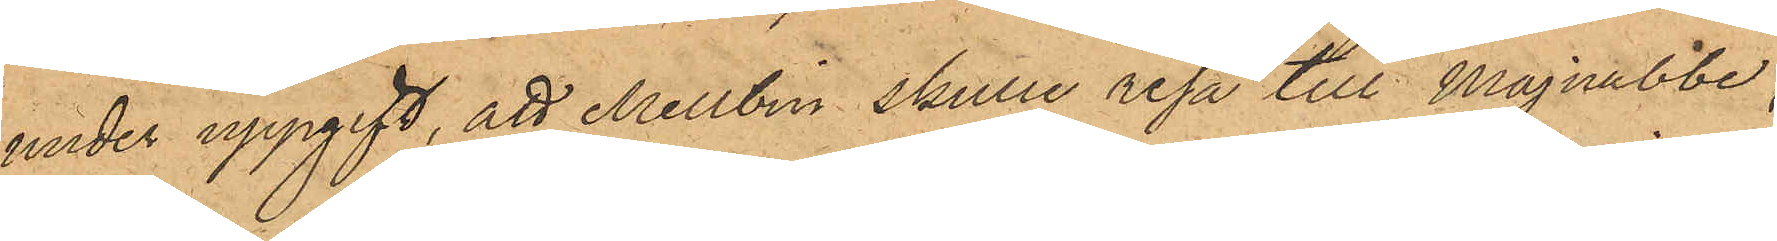under uppgift, att Mellbin skulle resa till Majnabbe;
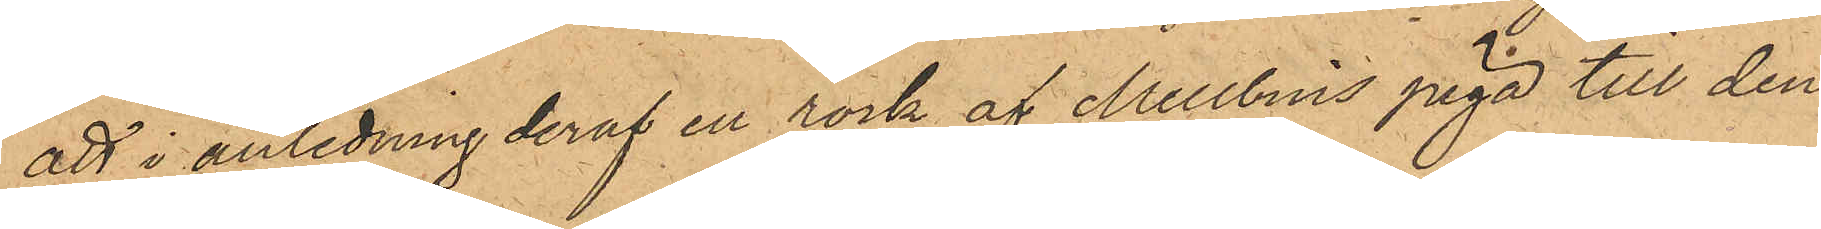att i anledning deraf en rock af Mellbins piga till den
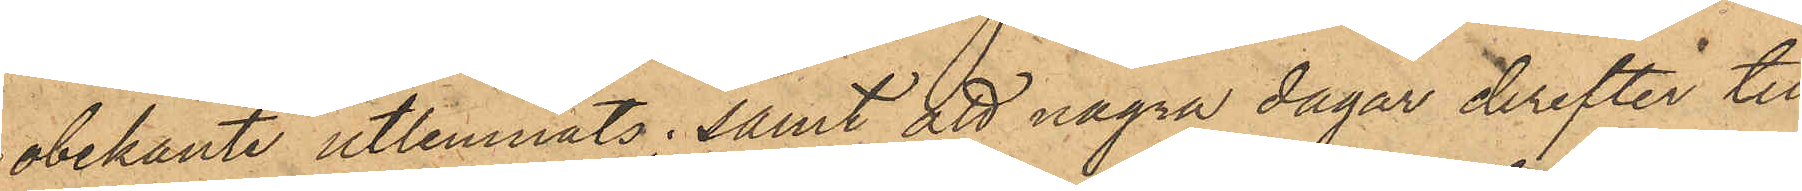obekante utlemnats; samt att några dagar derefter till
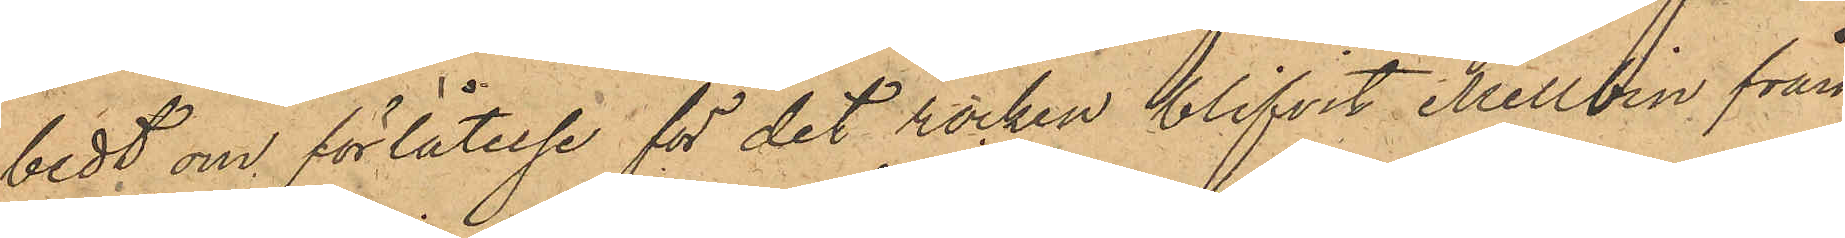bedt om förlåtelse för det rocken blifvit Mellbin från¬
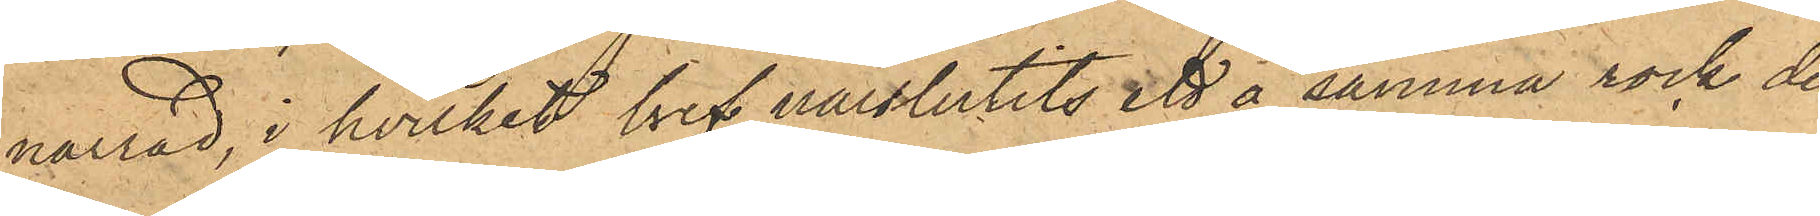narrad, i hvilket bref närslutits ett å samma rock den
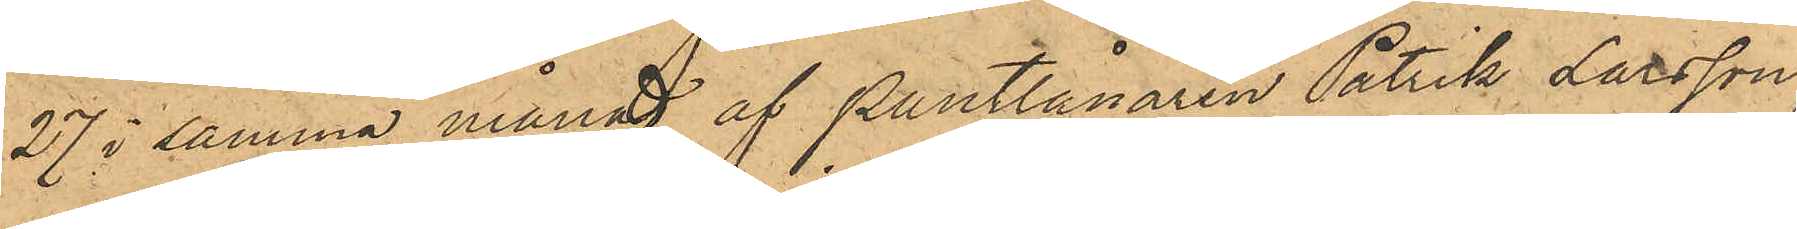27 i samma månad af Pantlånaren Patrik Larsson,
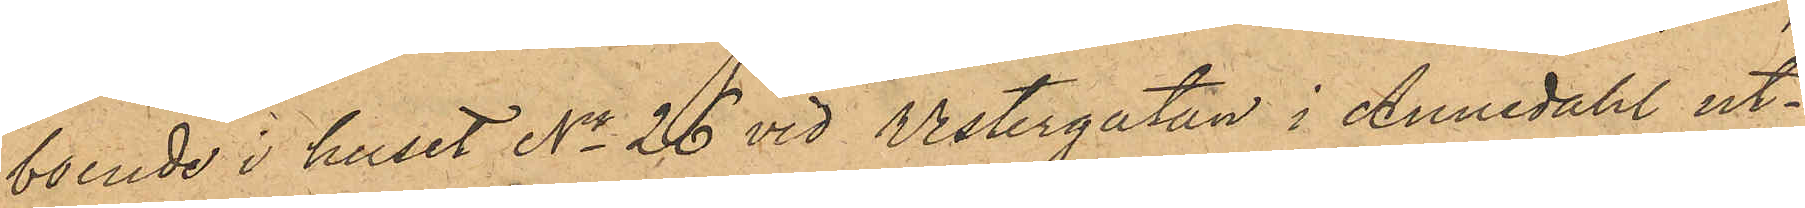boende i huset No 26 vid Vestergatan i Annedahl ut¬
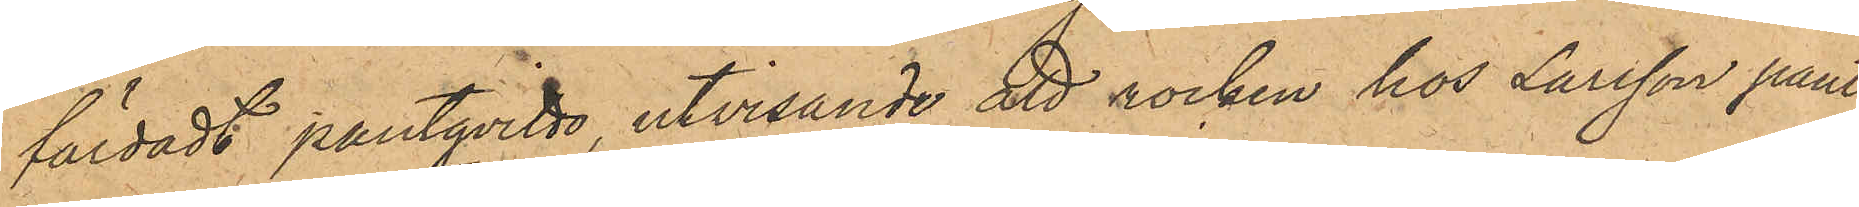färdadt pantqvitto, utvisande att rocken hos Larsson pant¬
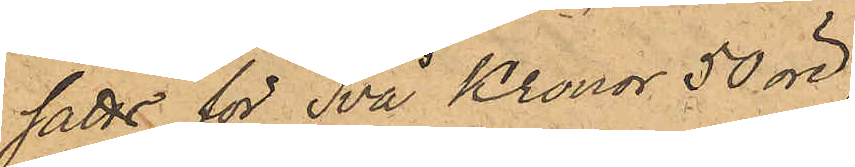satts för Två Kronor 50 öre;
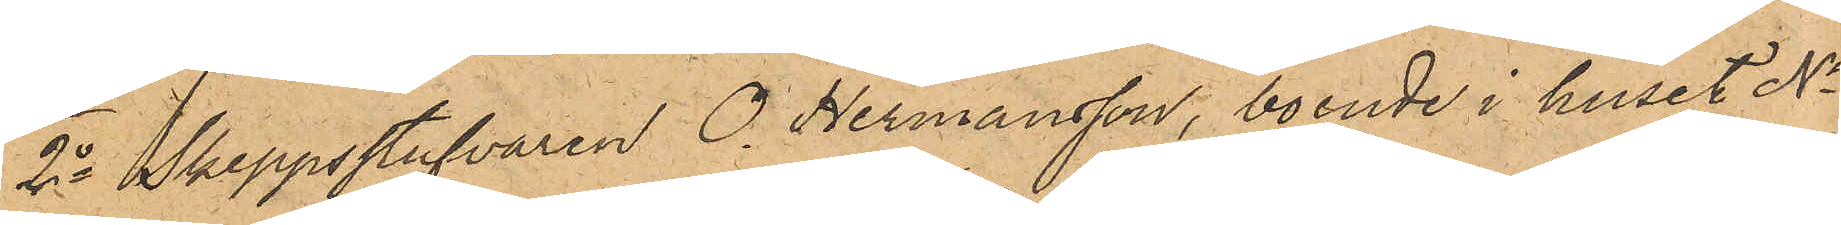2o Skeppsstufvaren O. Hermansson, boende i huset No
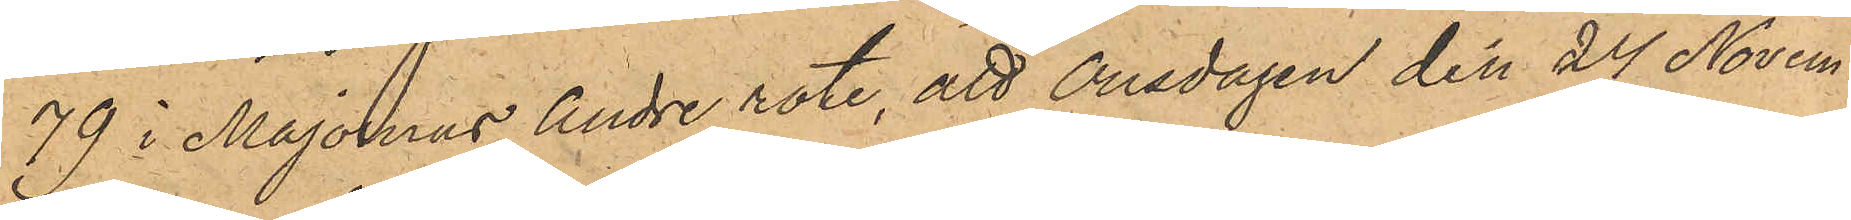79 i Majornas Andre rote, att Onsdagen den 24 Novem¬
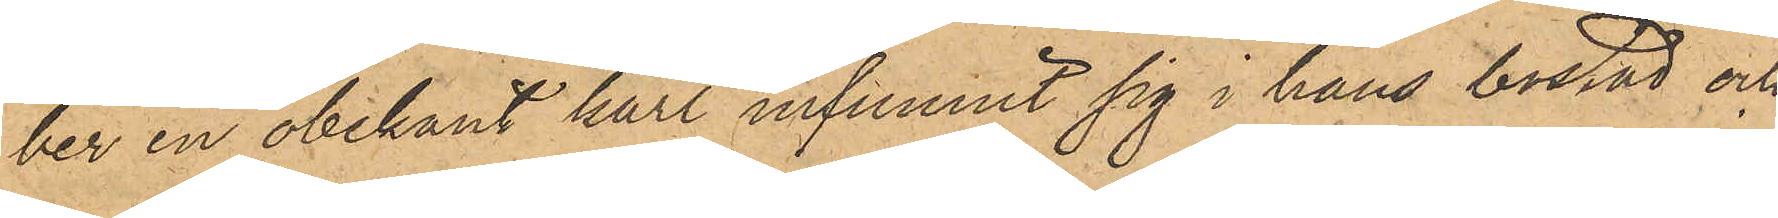ber en obekant karl infunnit sig i hans bostad och
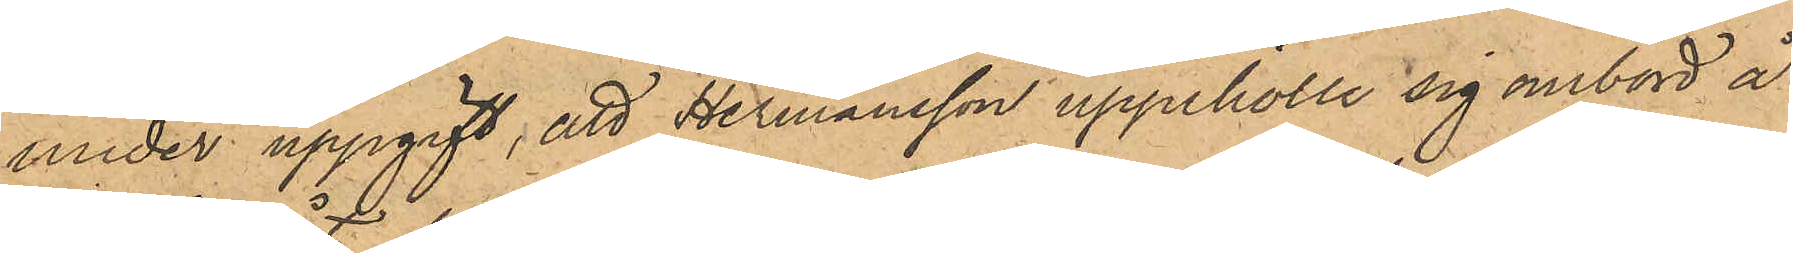under uppgift, att Hermansson uppehölle sig ombord å
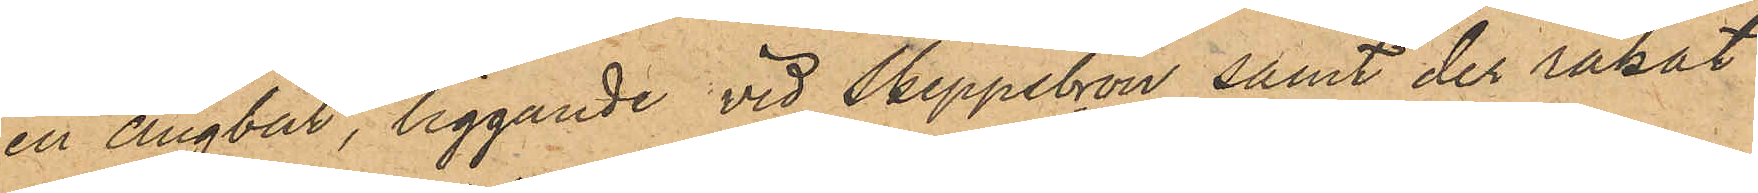en Ångbåt, liggande vid Skeppsbron samt der råkat
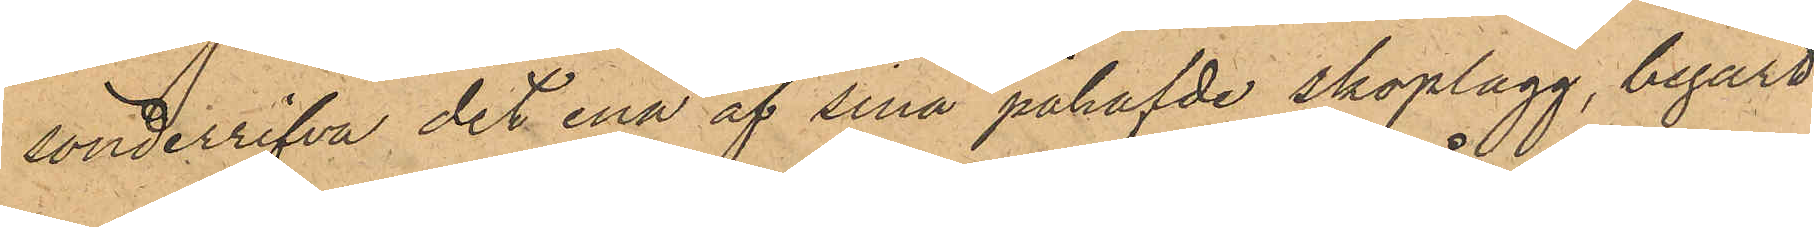sönderrifva det ena af sina påhafde skoplagg, begärt
